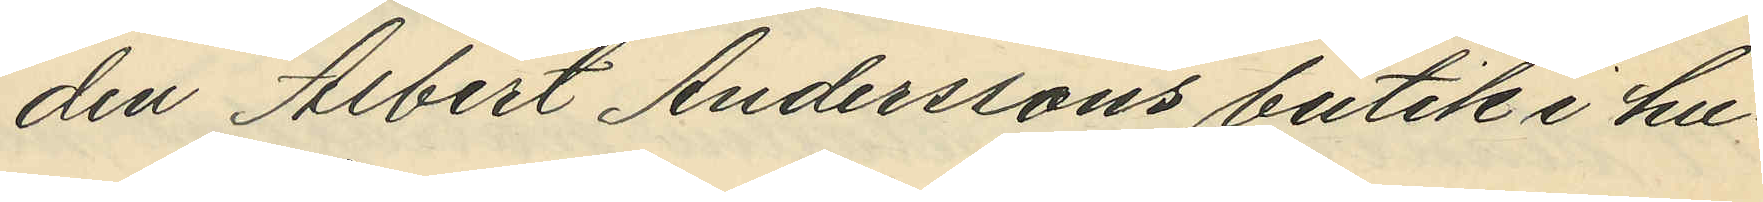den Albert Anderssons butik i hu¬
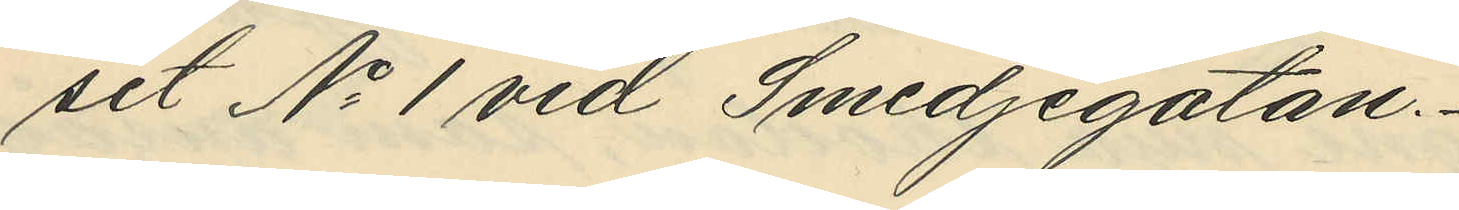set No 1 vid Smedjegatan.
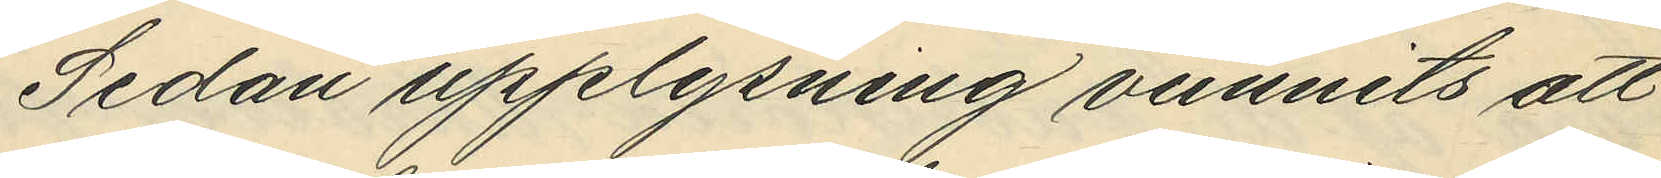Sedan upplysning vunnits att
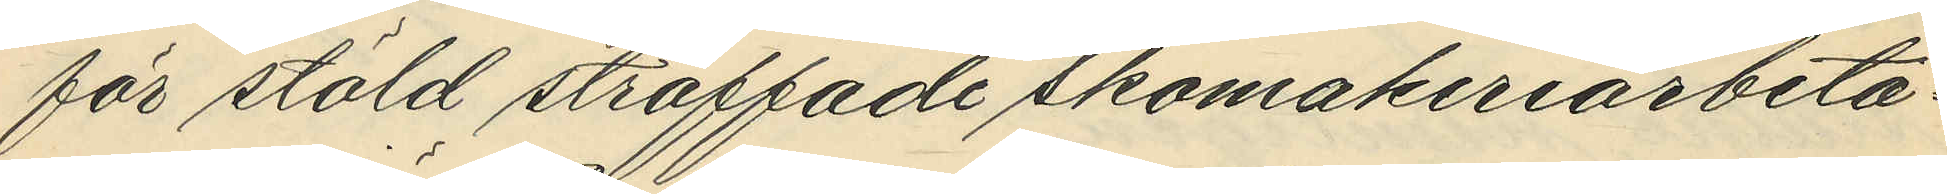för stöld straffade skomakeriarbeta¬
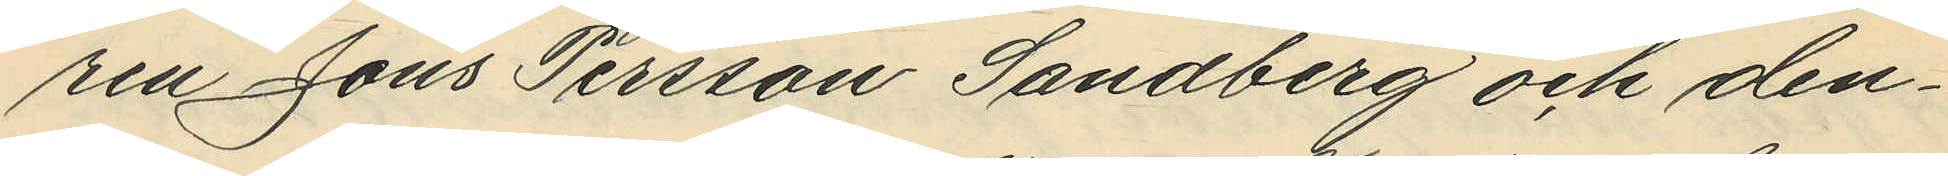ren Jöns Persson Sandberg och den¬
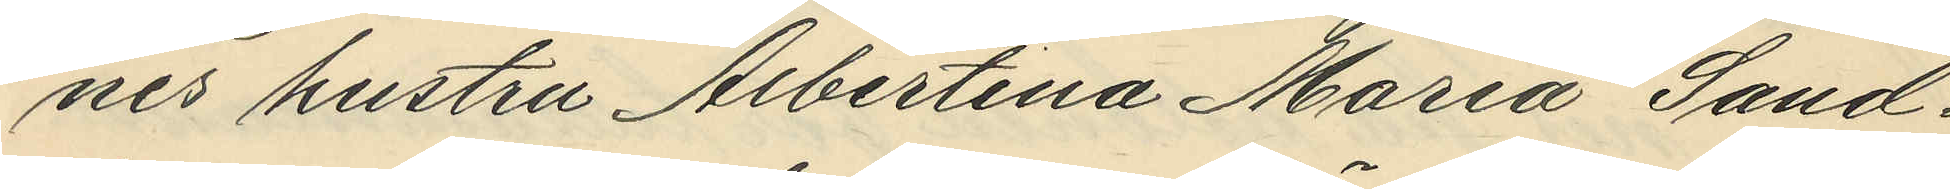nes hustru Albertina Maria Sand¬
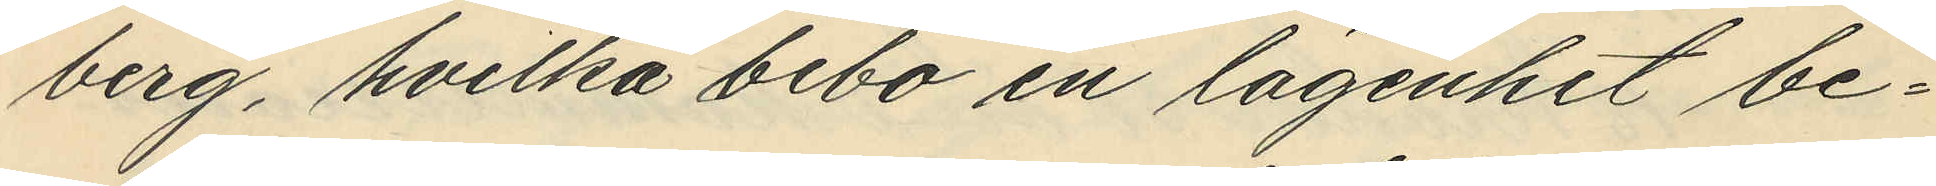berg, hvilka bebo en lägenhet be¬
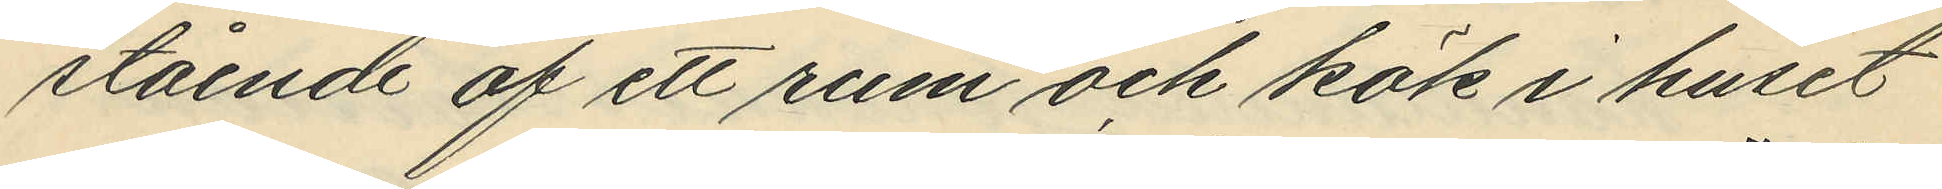stående af ett rum och kök i huset
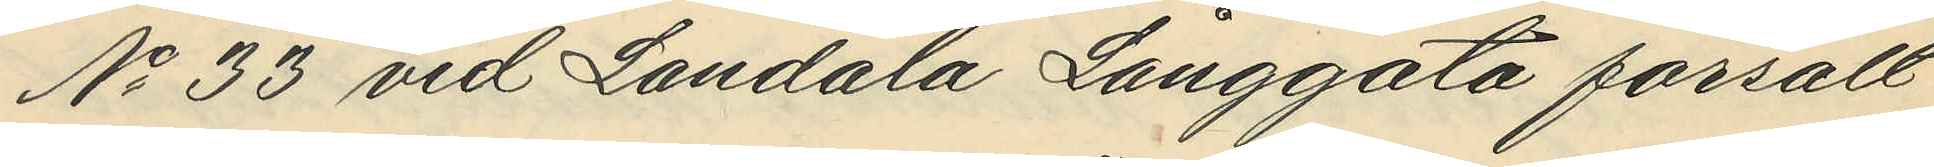No 33 vid Landala Långgata försålt
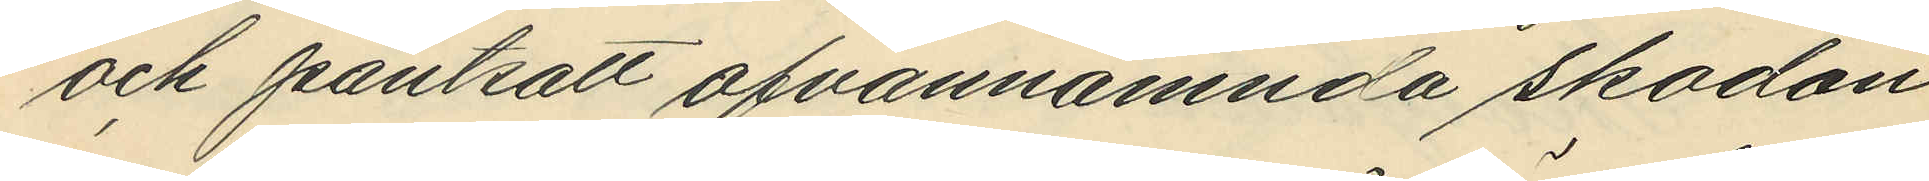och pantsatt ofvannämnda skodon
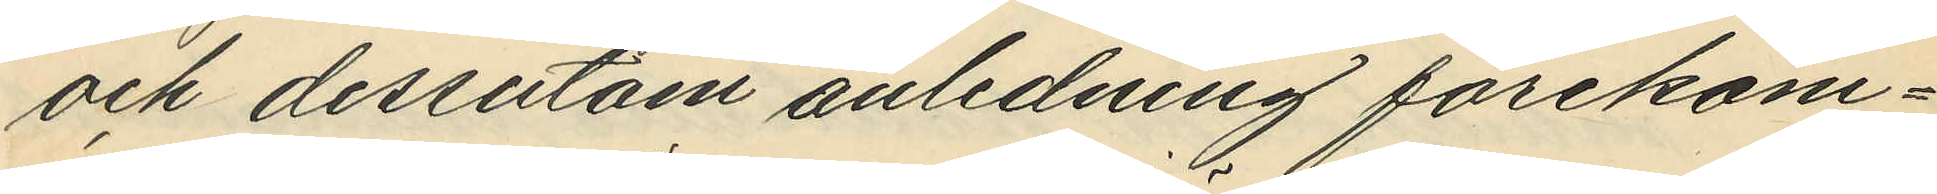och dessutom anledning förekom¬
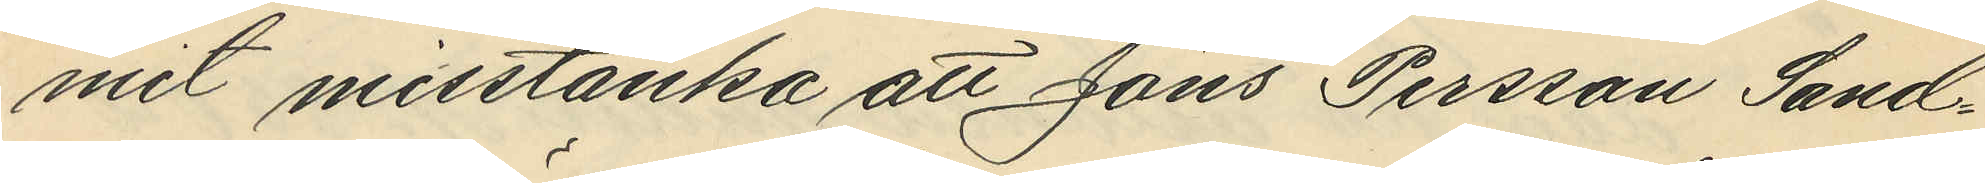mit misstänka att Jöns Persson Sand¬
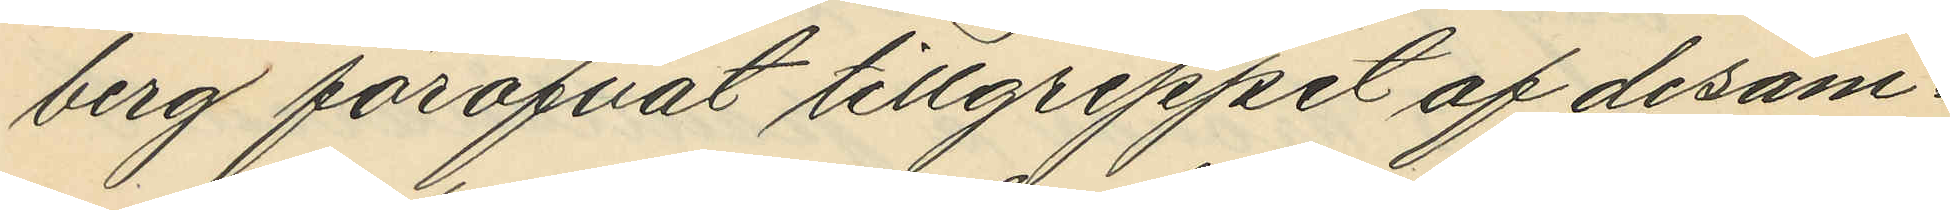berg föröfvat tillgrepp af desam¬
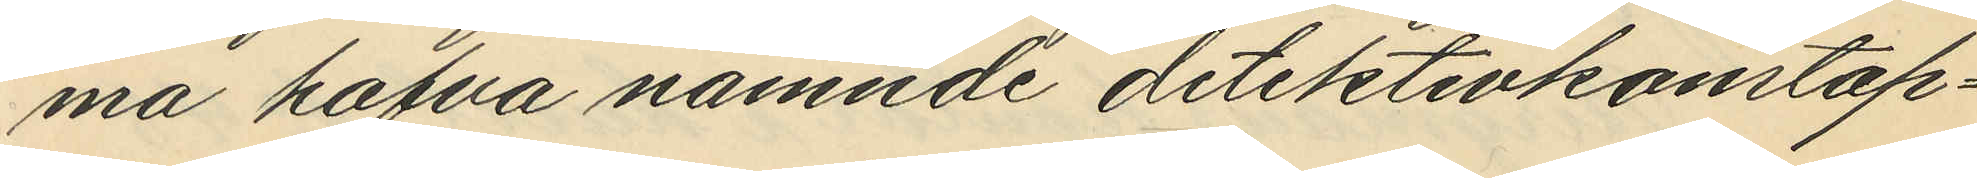ma hafva nämnde ddetektivkonstap¬
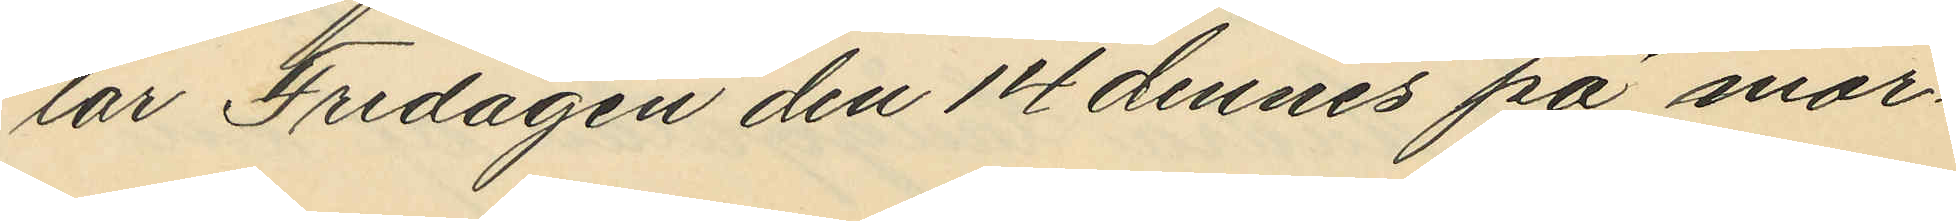lar Fredagen den 14 dennes på mor¬
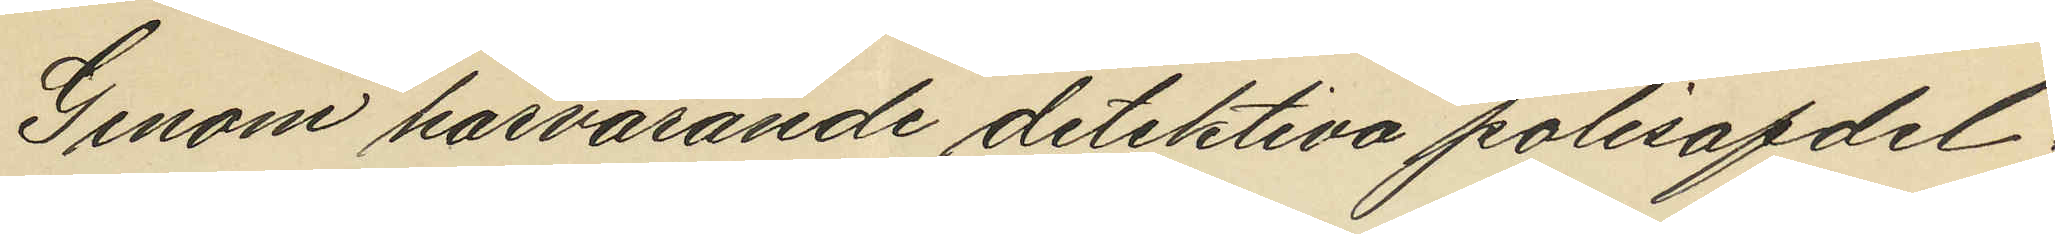Genom härvarande detektiva polisafdel¬
